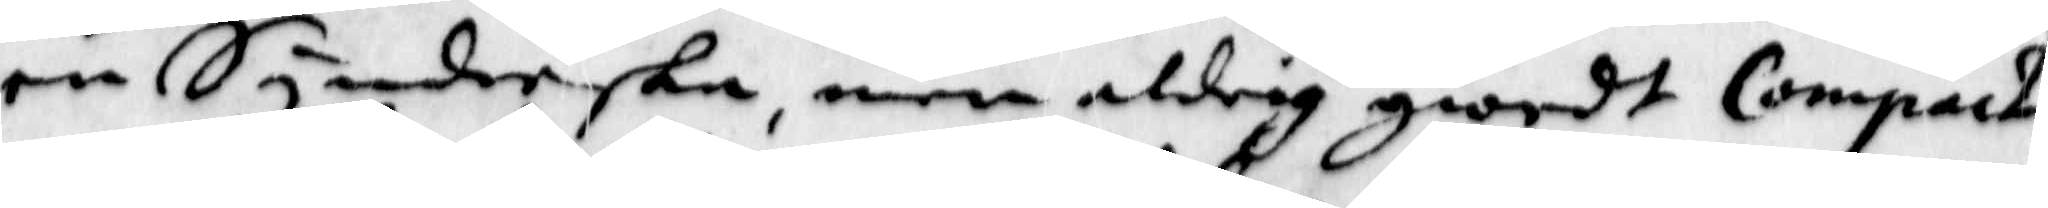en Synderska, men aldrig giordt Compack
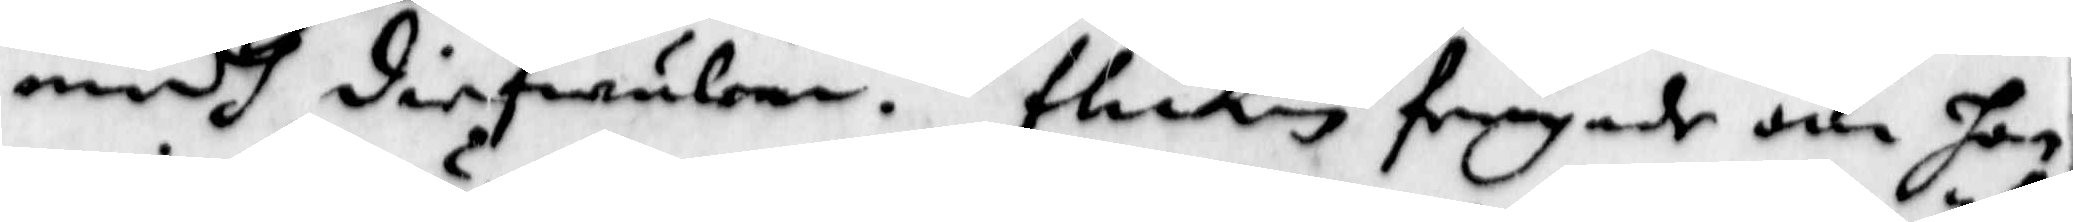medh diefwulen. flickan frågade om hon
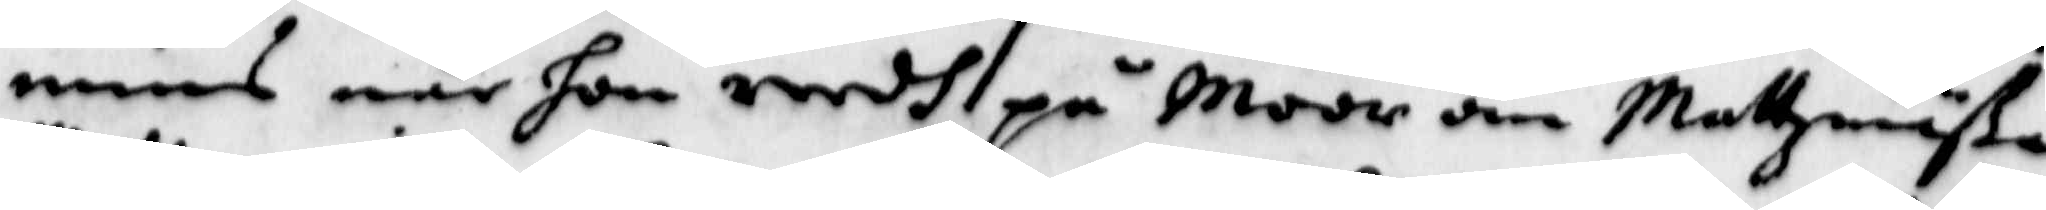monns när hon reedh på Moor om Mattzmäße
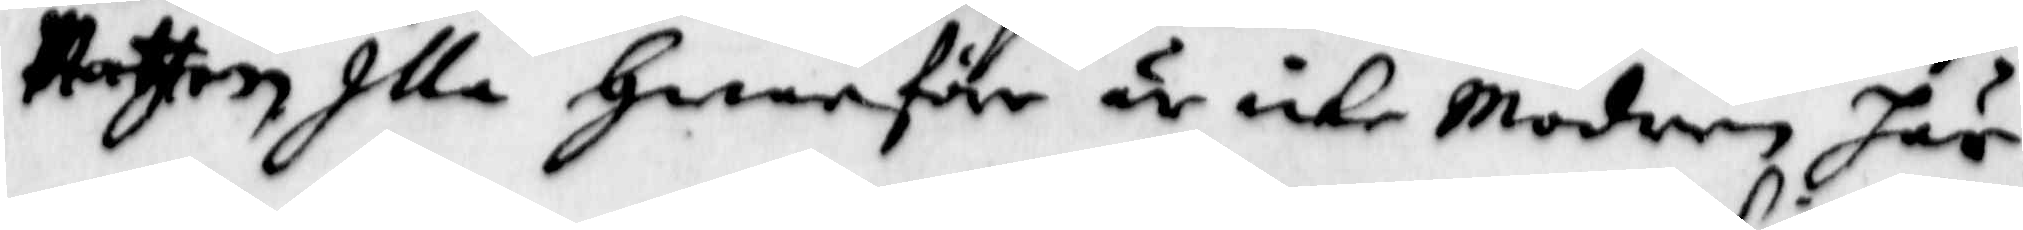Natten Illa Hwarföre är icke Modren här.
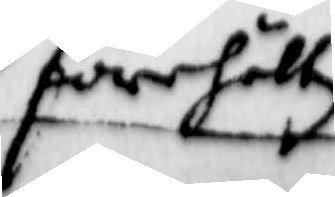förehölltz
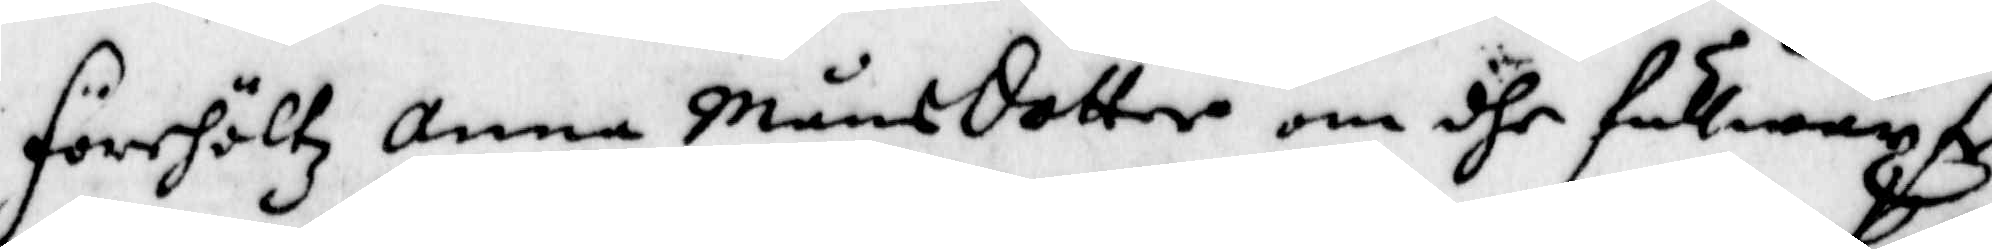förehöltz Anna Månsdotter om dhe fullwäxte
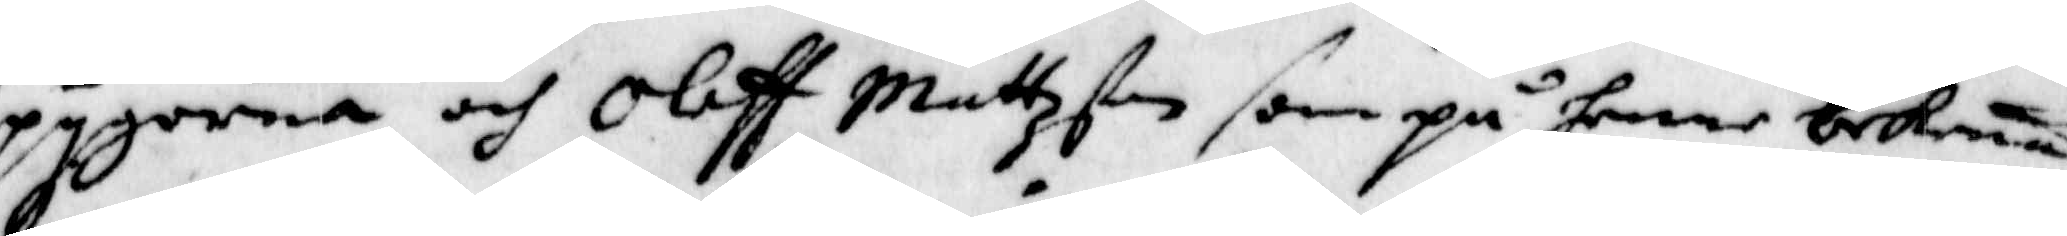pygorna och Olaff Mattzson som på henne bekenna
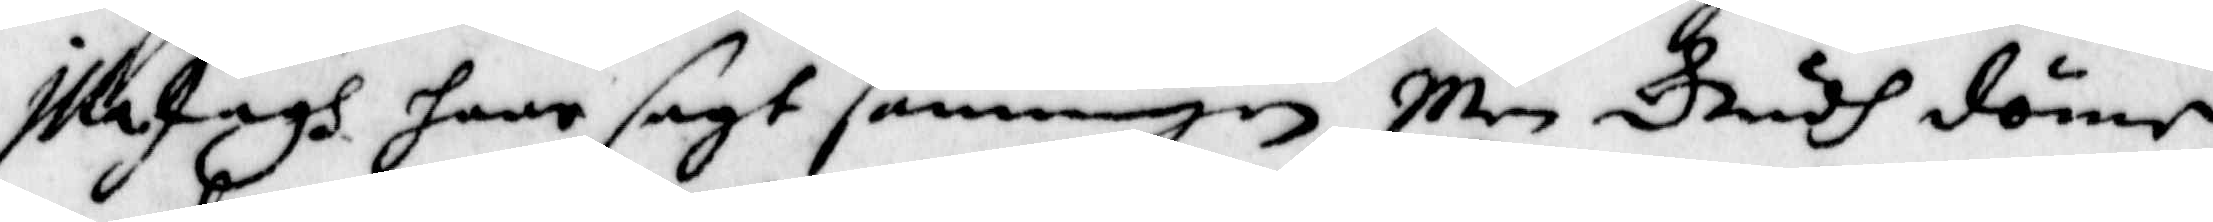Illa Jagh haar sagt sanningen, men Gudh dömer
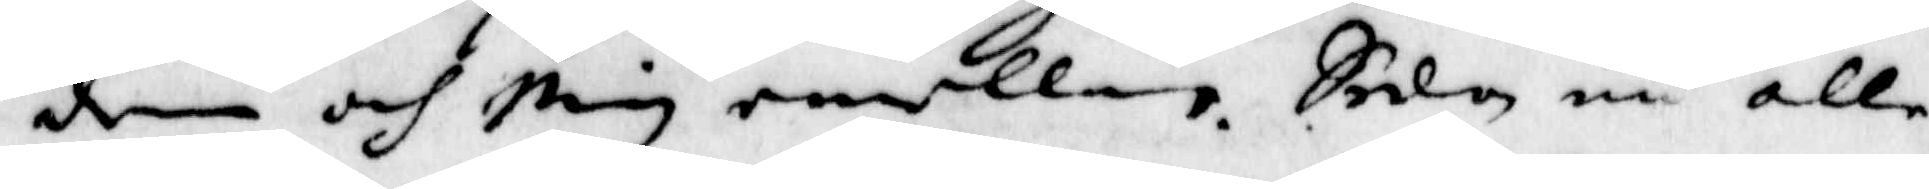dem och mig enellan. sedan nu alle
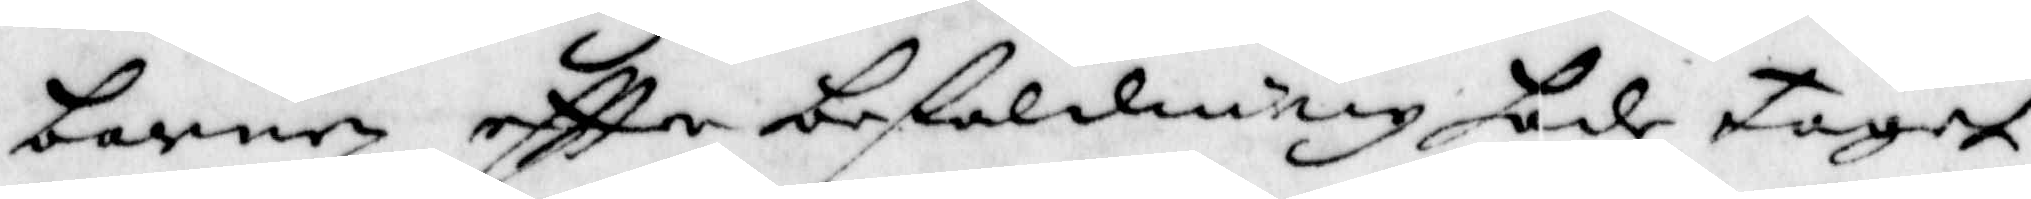barnen eftter befaldning hade taget
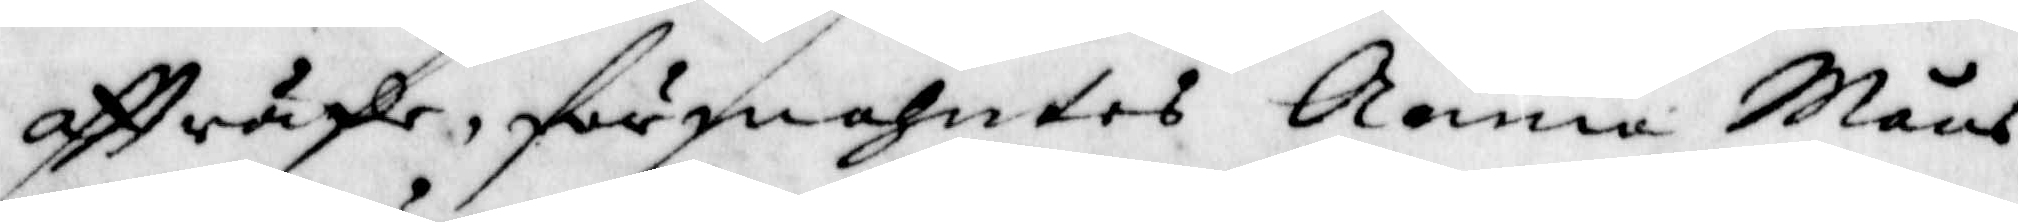affträde, förmahntes Anna Måns¬
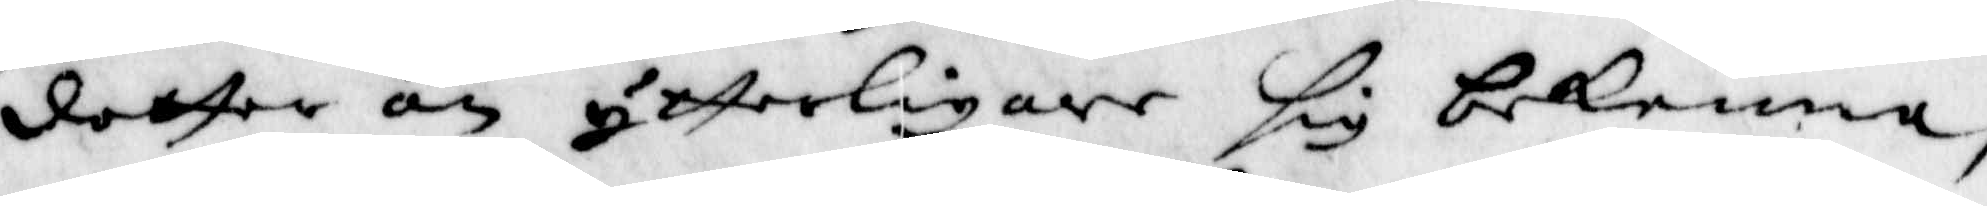dotter än ytterligare sig bekenna,
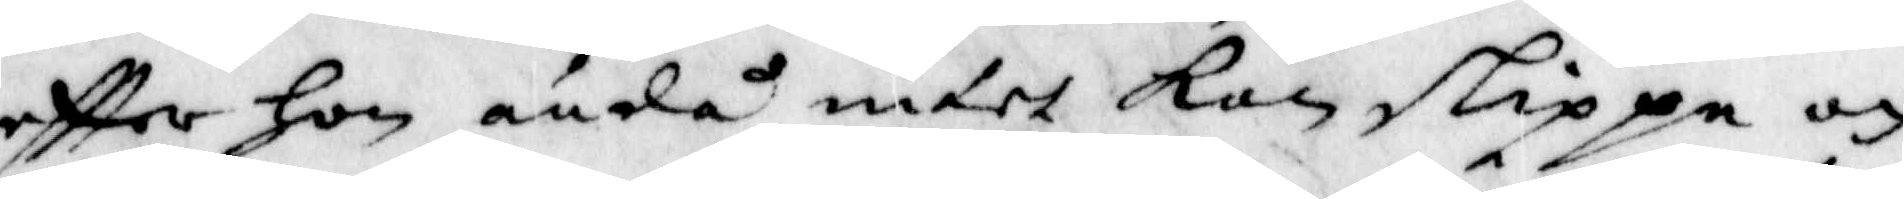eftter hon ändå intet kan slippa och
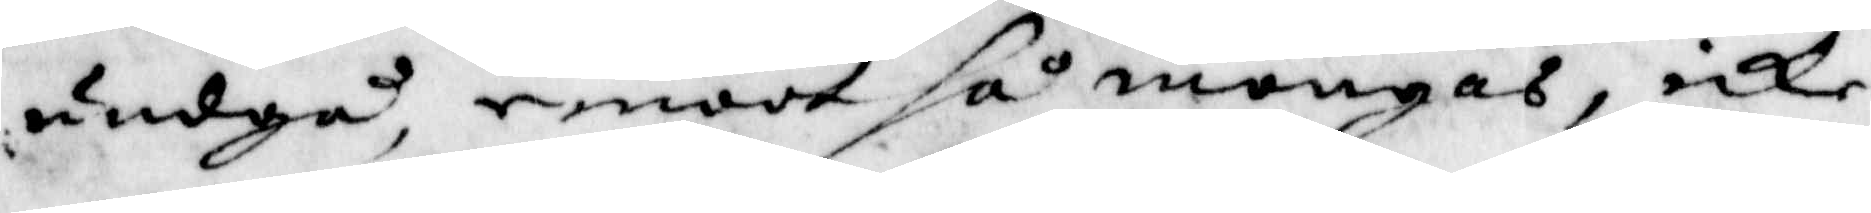undgå, emoot så mongas, icke
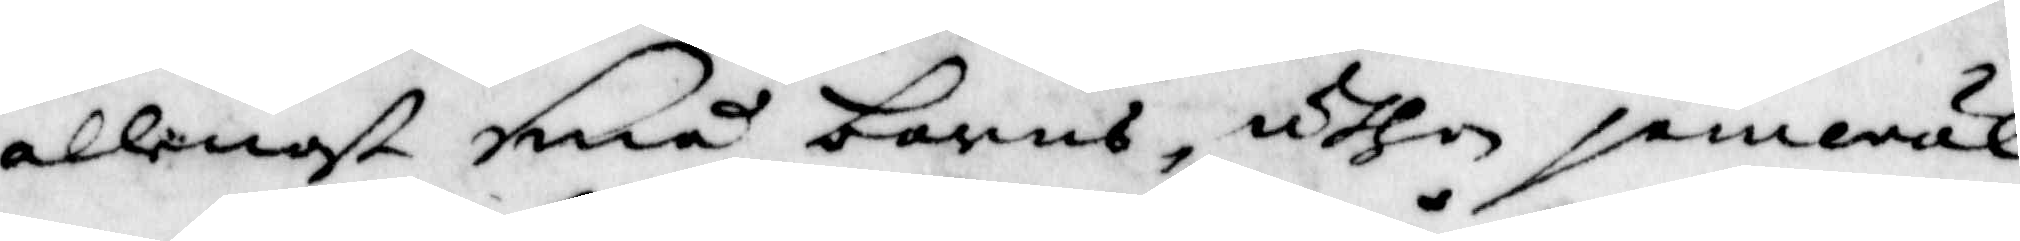allenast små barns, uthan jämwäll
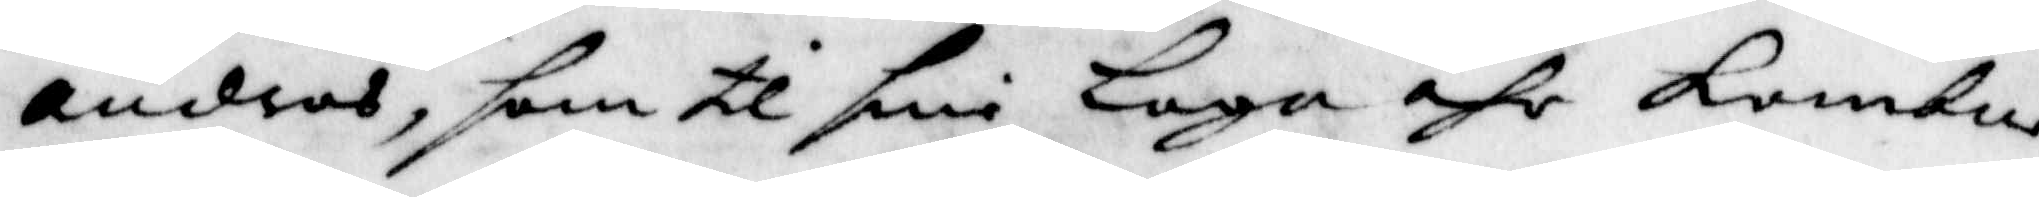andras, som til sina Laga åhr kombne
